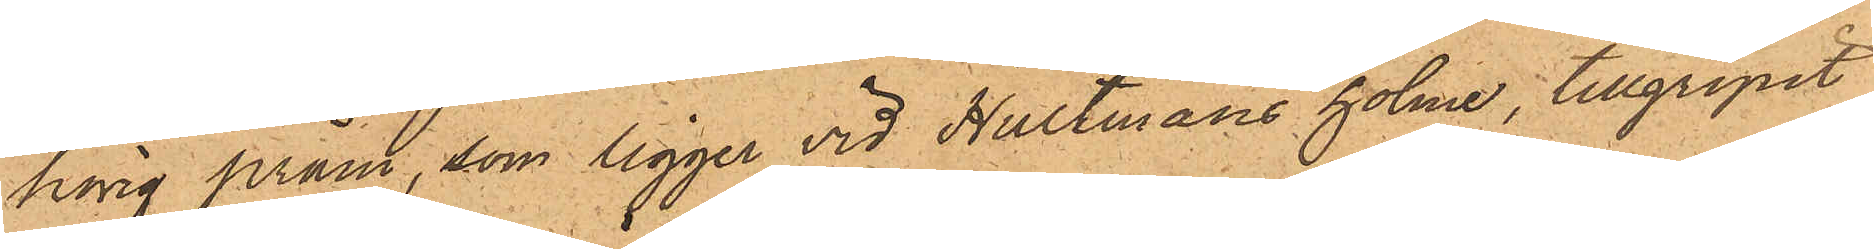hörig pråm, som ligger vid Hultmans holme, tillgripit
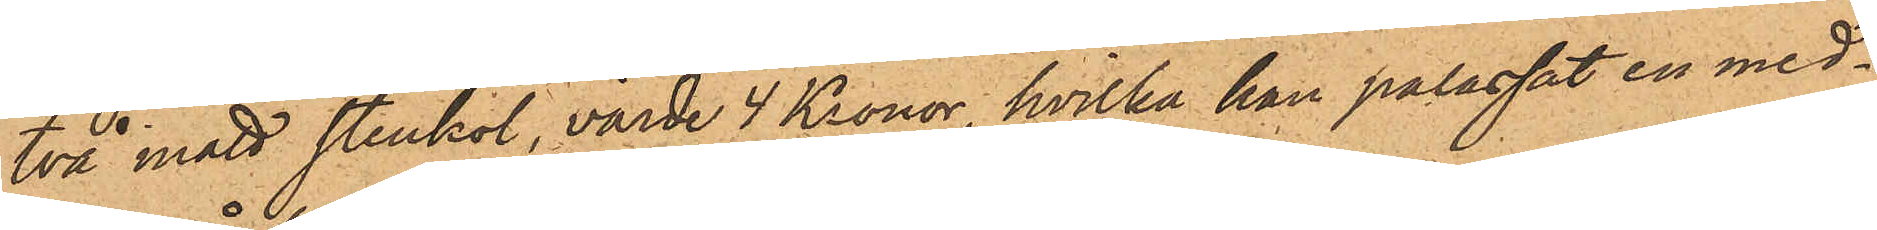två mått stenkol, värde 4 Kronor, hvilka han palassat en med¬
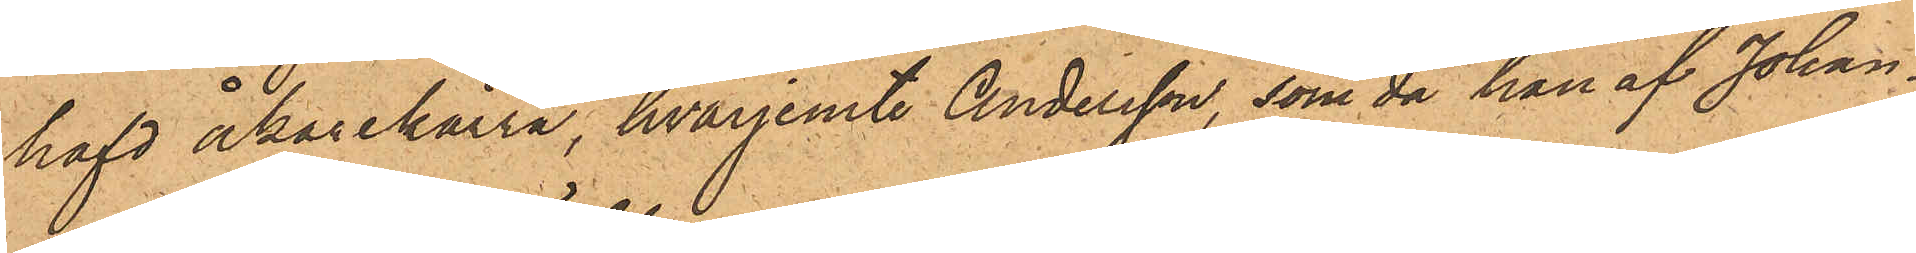hafd åkarekärra, hvarjemte Andersson, som då han af Johan¬
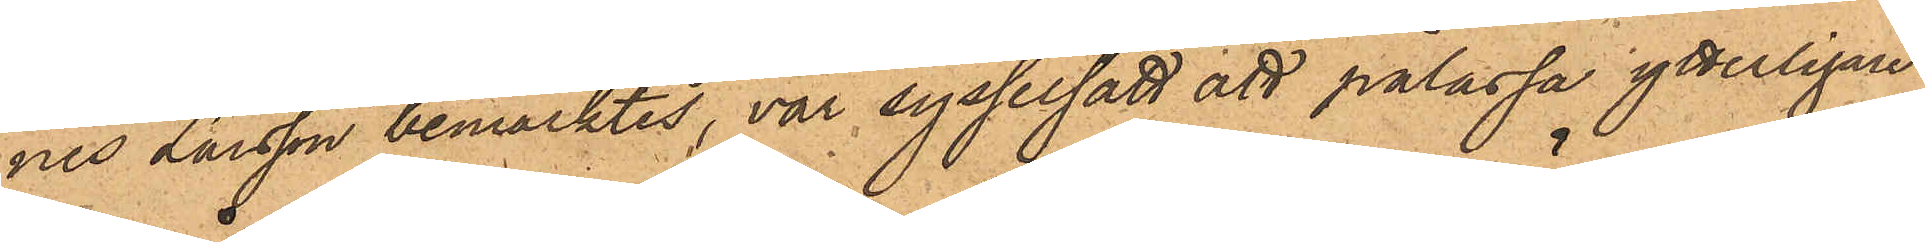nes Larsson bemärktes, var sysselsatt att pålassa ytterligare
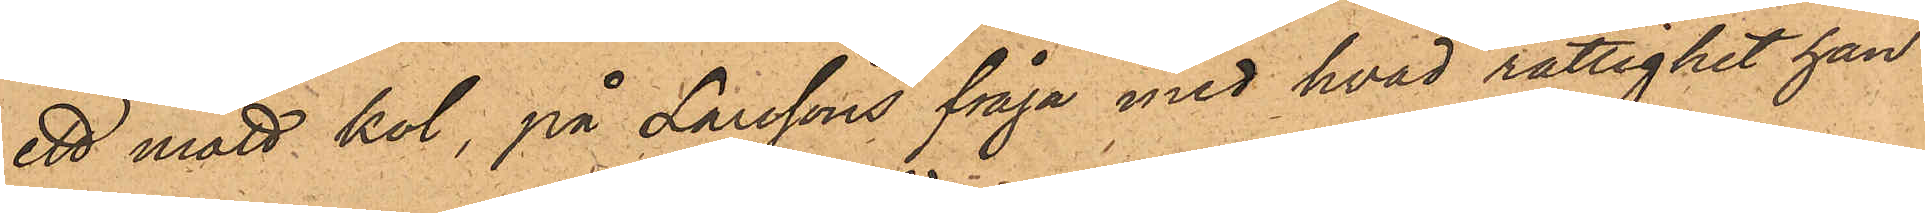ett mått kol, på Larssons fråga med hvad rättighet han
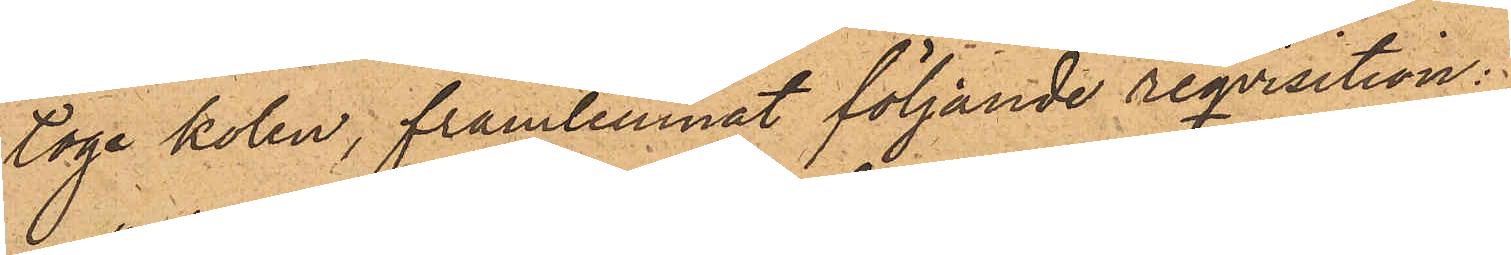toge kolen, framlemnat följande reqvisition;
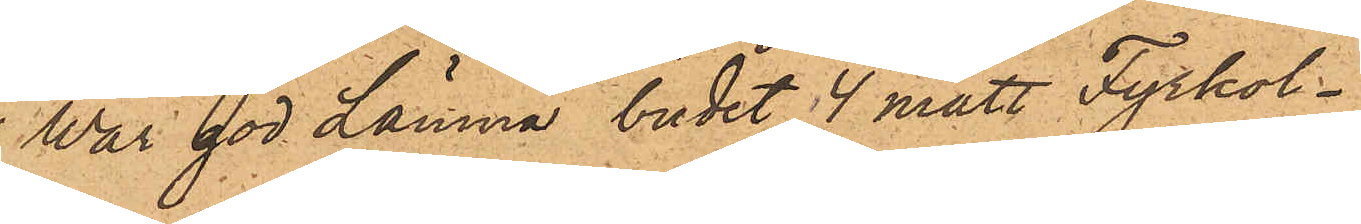"War god Lämna budet 4 mått Fyrkol
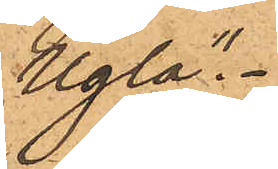Ugla."
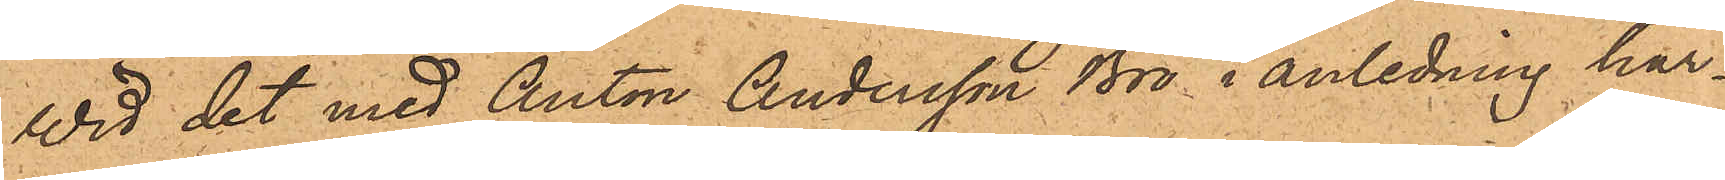Wid det med Anton Andersson Bro i anledning här¬
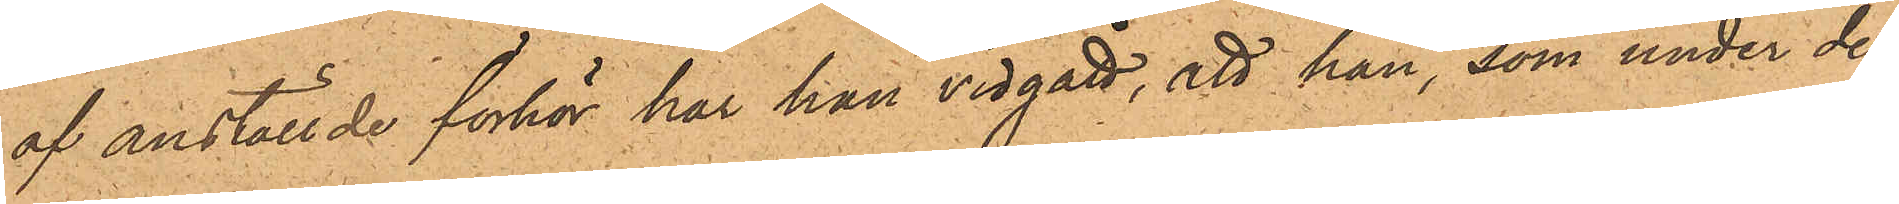af anställde förhör har han vidgått, att han, som under de
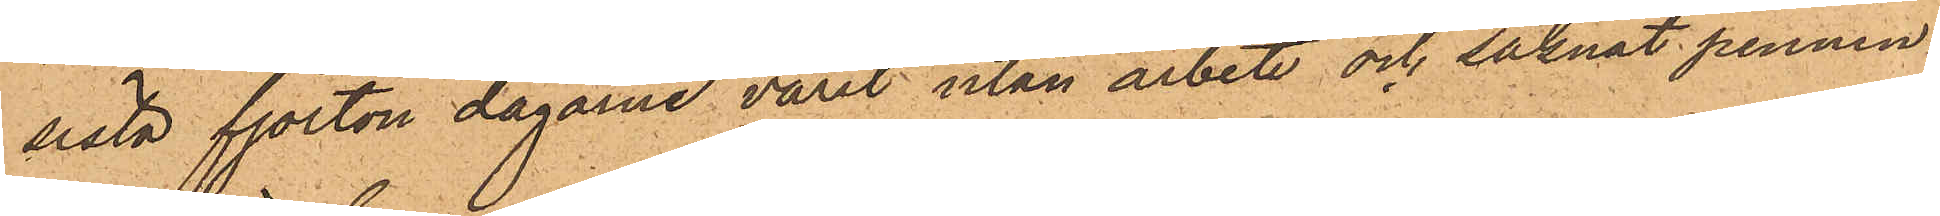sista fjorton dagarne varit utan arbete och saknat pennin¬
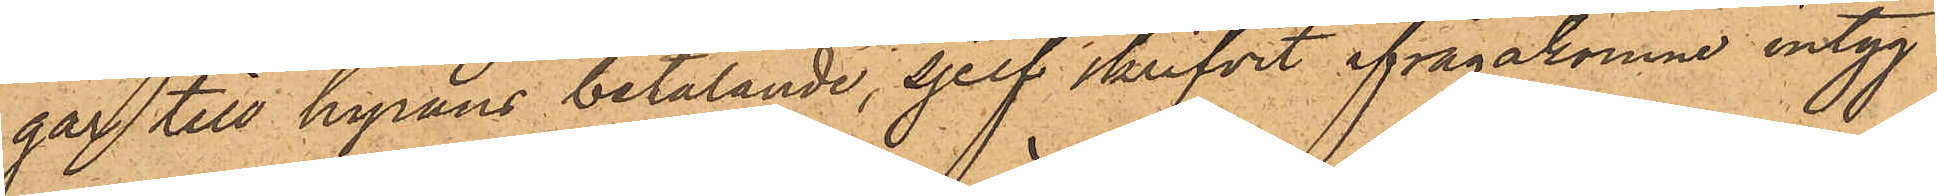gar till hyrans betalande, sjelf skrifvit ifrågakomne intyg
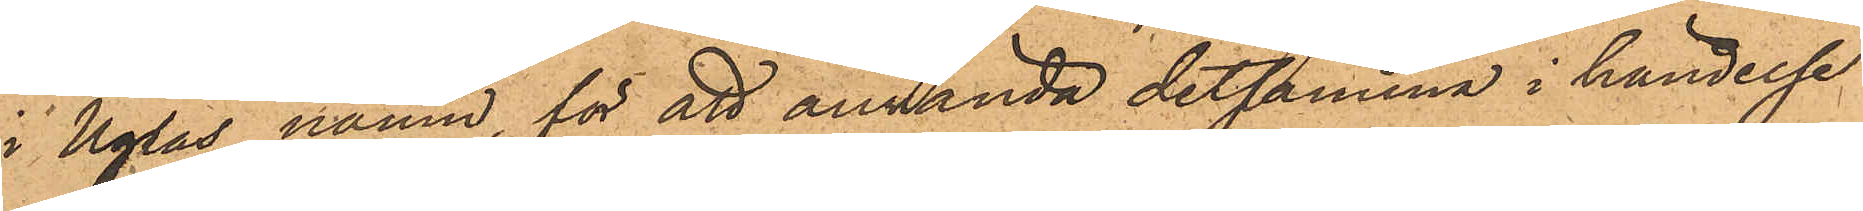i Uglas namn, för att använda detsamma i händelse
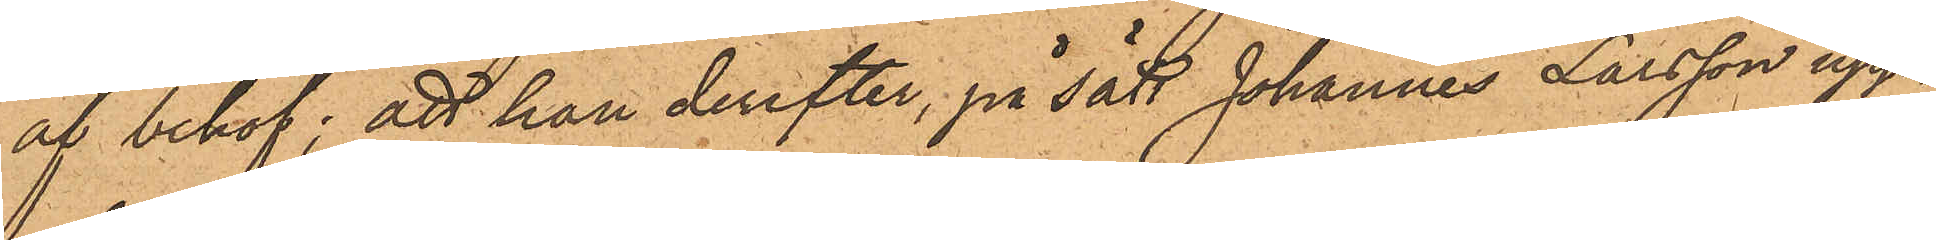af behof; att han derefter, på sätt Johannes Larsson upp¬
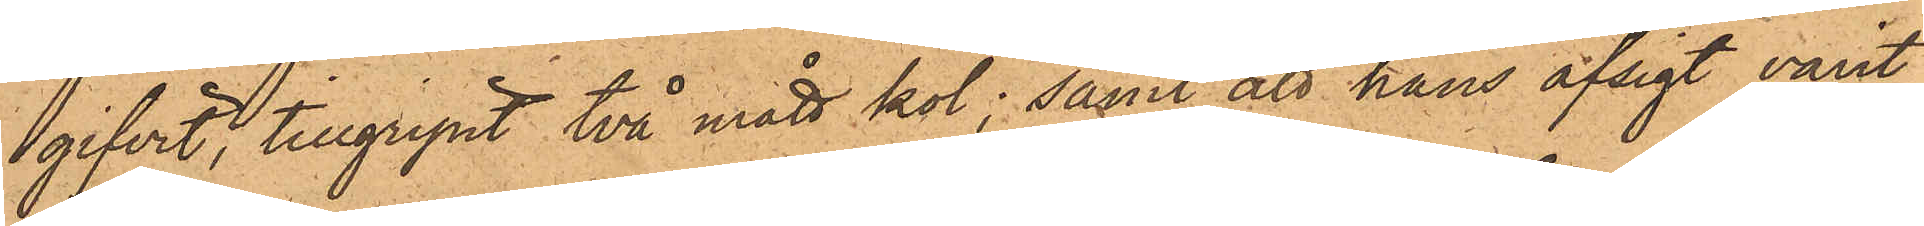gifvit, tillgripit två mått kol; samt att hans afsigt varit
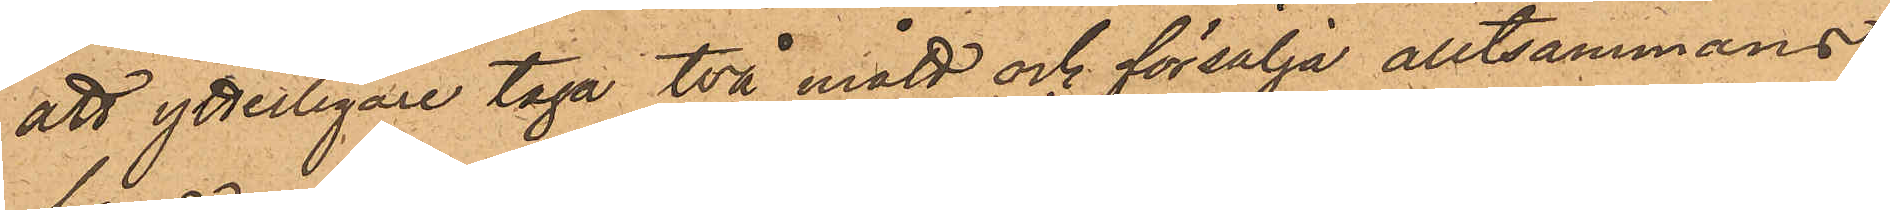att ytterligare taga två mått och försälja alltsammans
